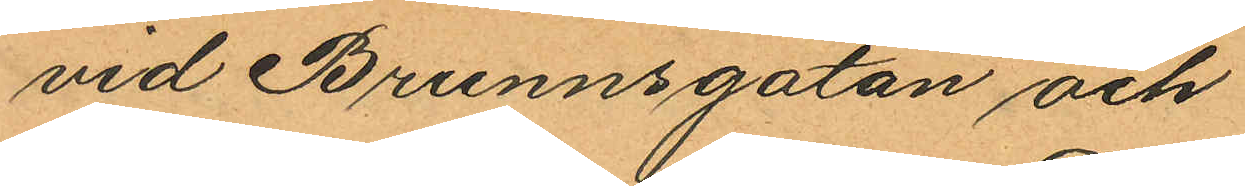vid Brunnsgatan och
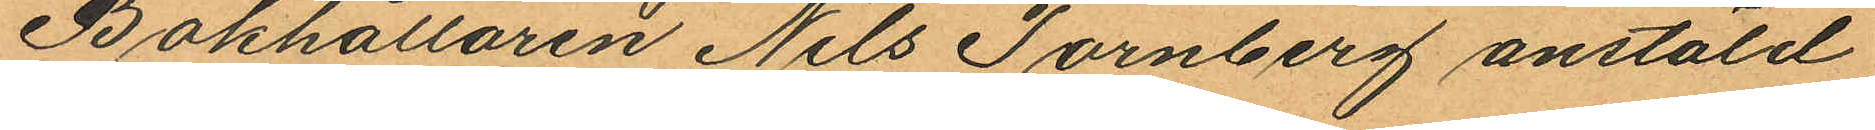Bokhållaren Nils Tornberg anstäld
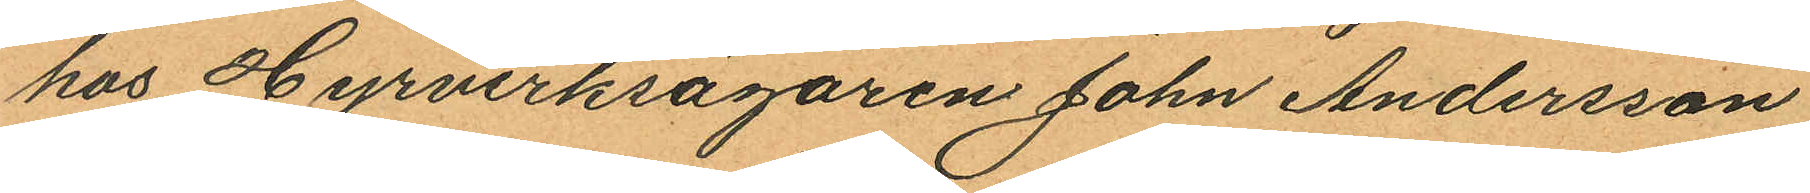hos Hyrverksägaren John Andersson
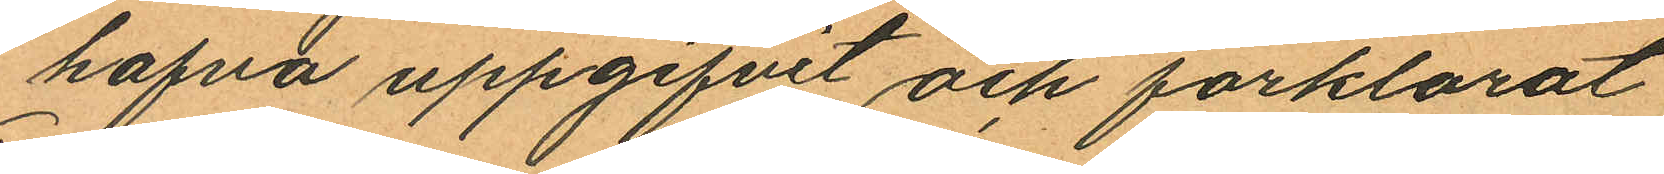hafva uppgifvit och förklarat
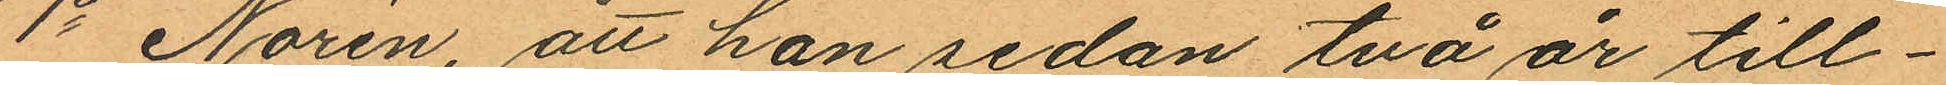1o Norén, att han sedan två år till¬
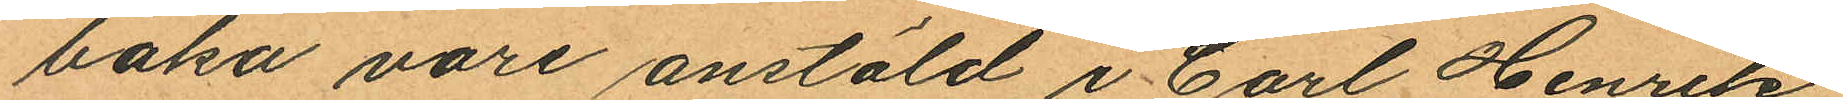baka vore anstäld i Carl Henrik
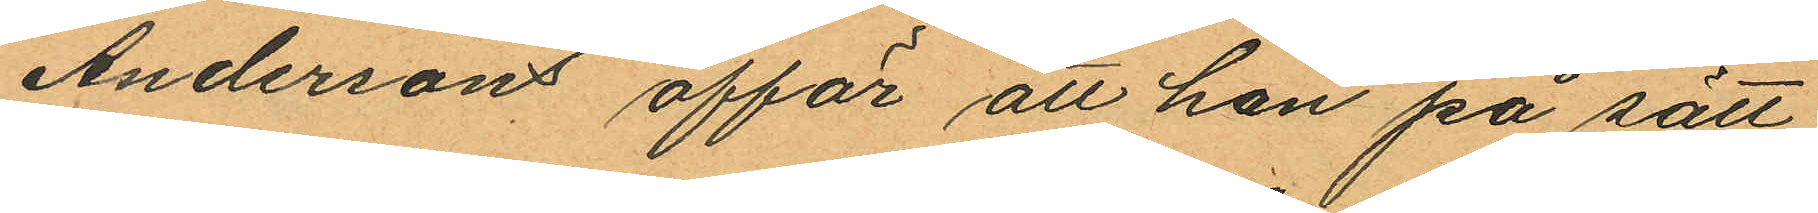Andersons affär att han på sätt
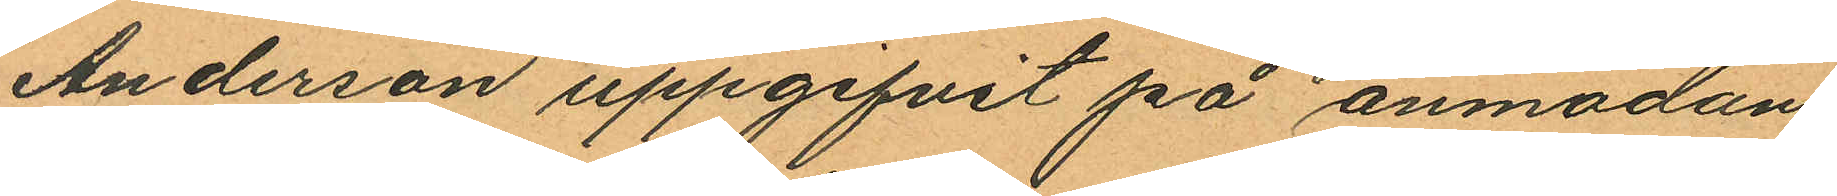Anderson uppgifvit på anmodan
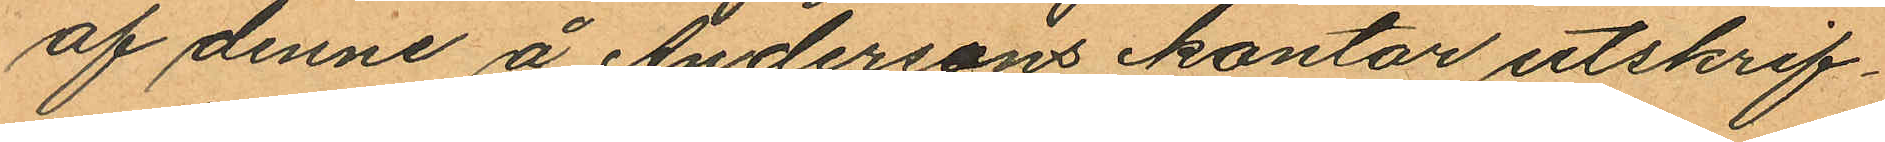af denne å Andersons kontor utskrif¬
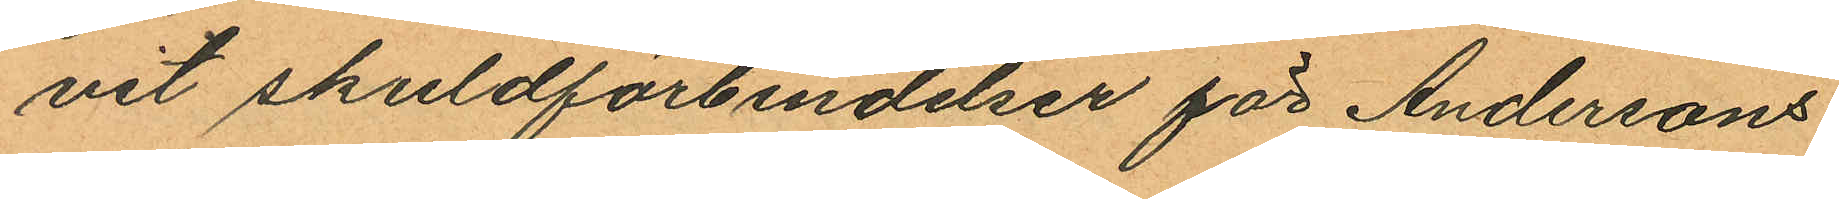vit skuldförbindelser för Andersons
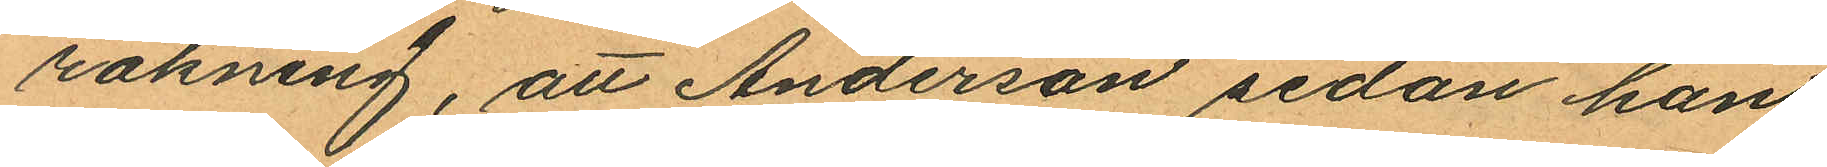räkning, att Anderson sedan han
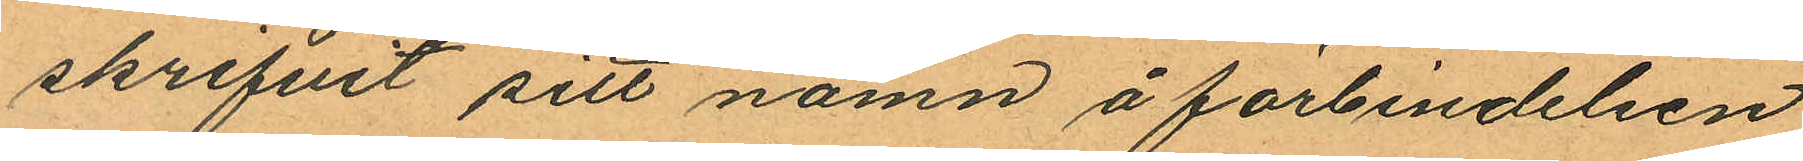skrifvit sitt namn å förbindelsen
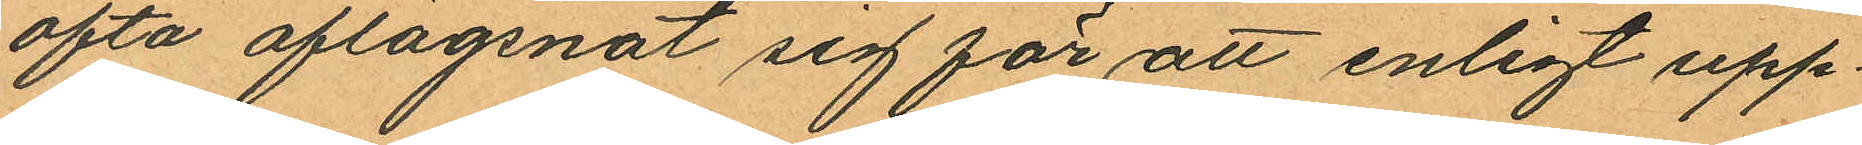ofta aflägsnat sig för att enligt upp¬
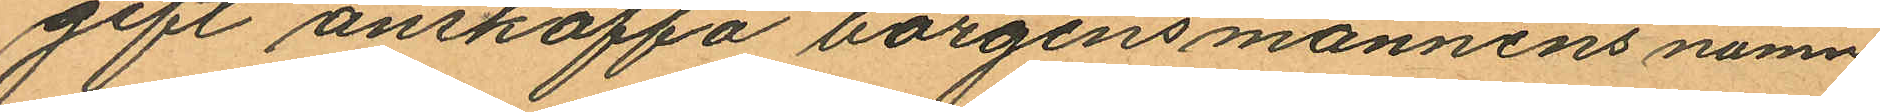gift anskaffa borgensmännens namn
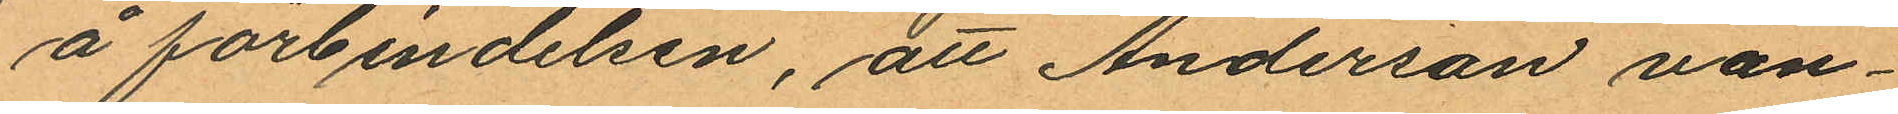å förbindelsen, att Anderson van¬
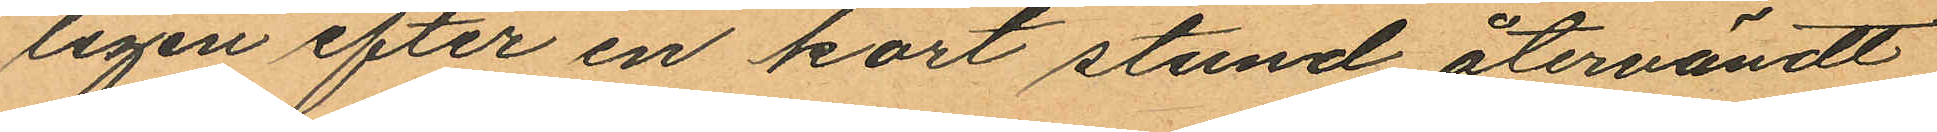ligen efter en kort stund återvändt
